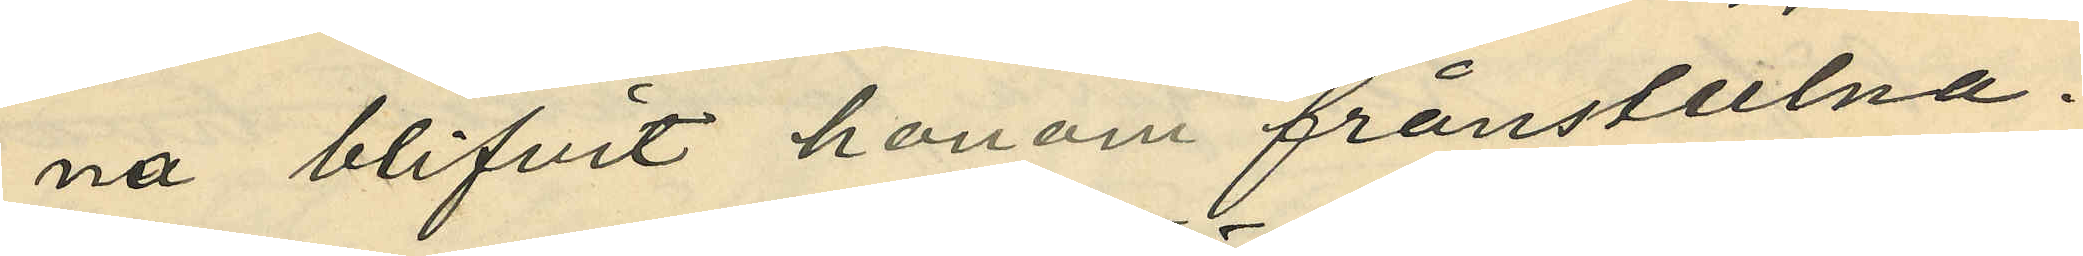na blifvit honom frånstulna.
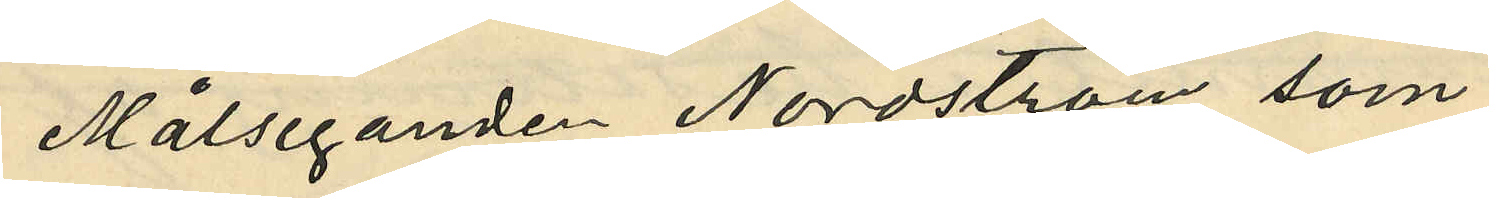Målseganden Nordström, som
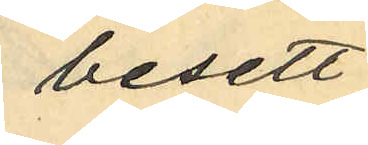besett
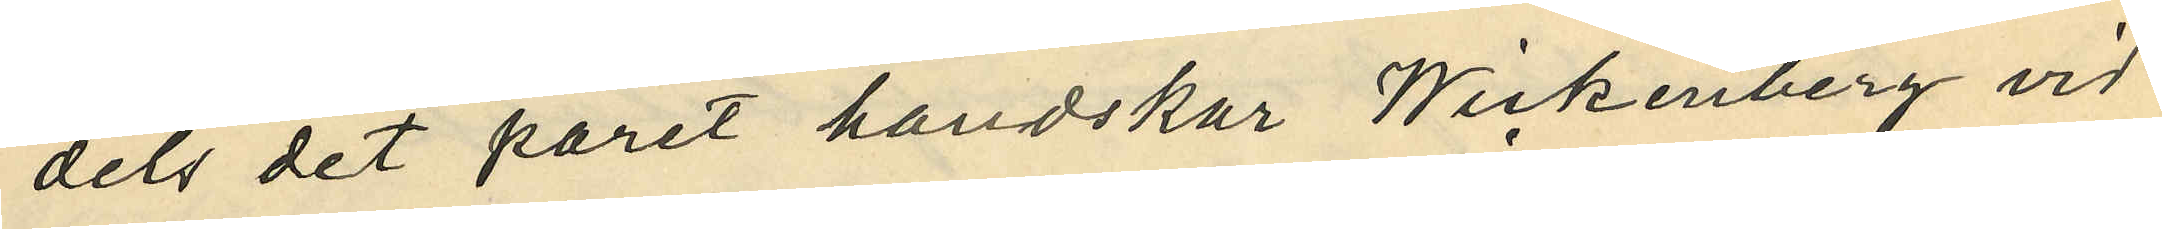dels det paret handskar Wickenberg vid
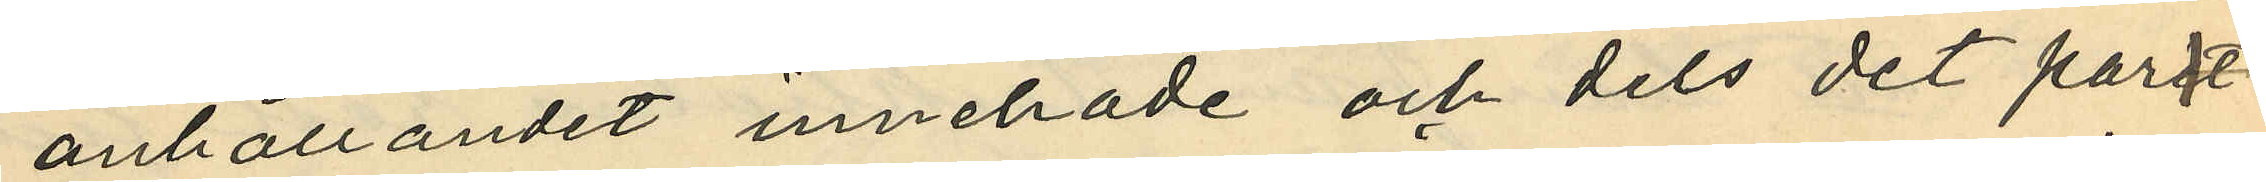anhållandet innehade och dels det paret
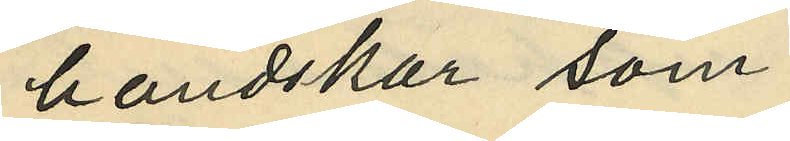handskar som
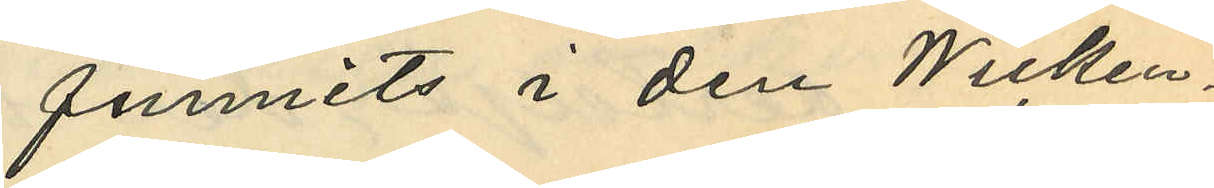funnits i den Wicken¬
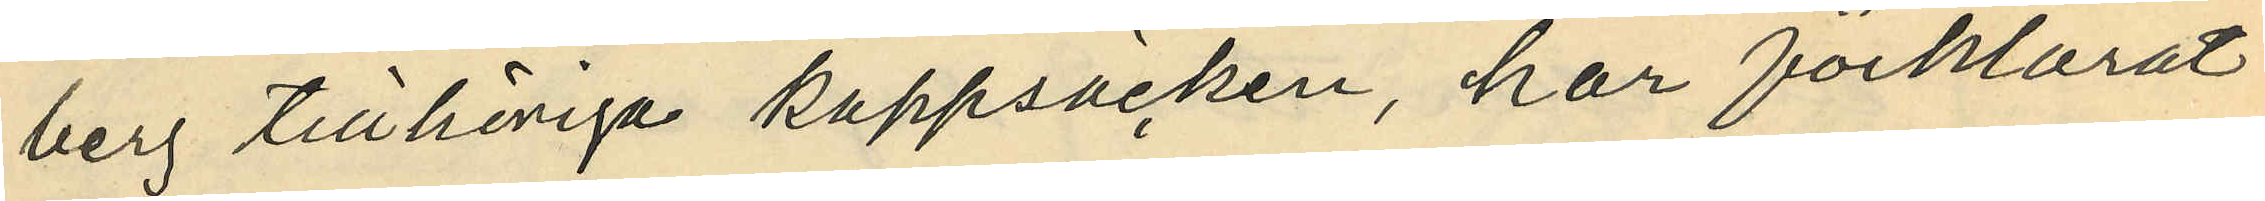berg tillhöriga kappsäcken, har förklarat
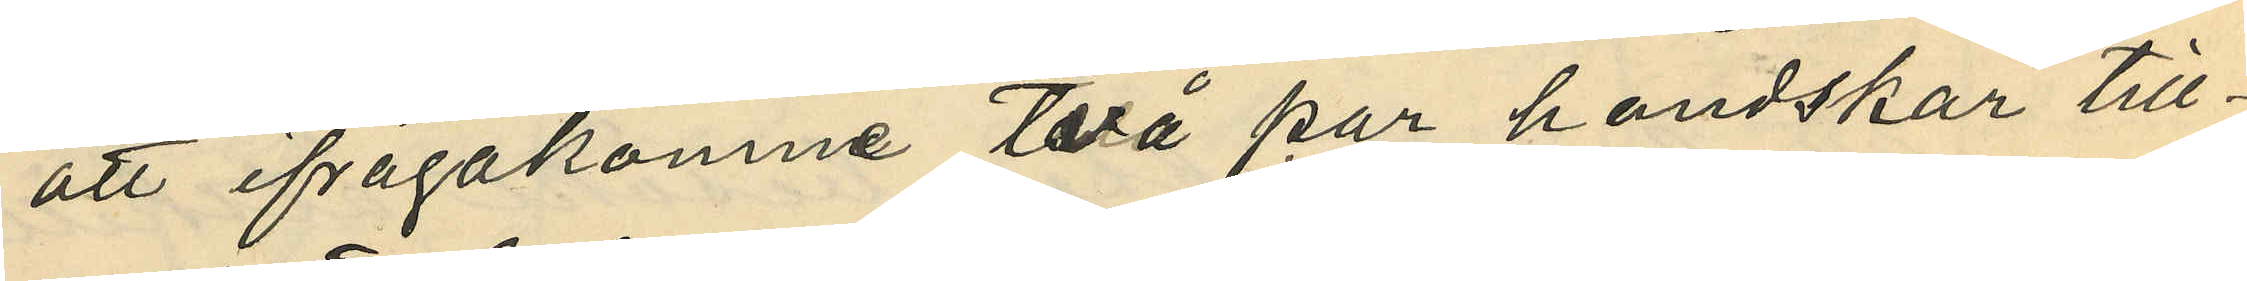att ifrågakomne två par handskar till¬
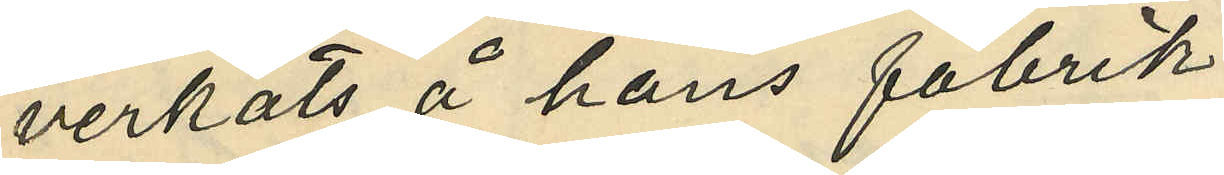verkats å hans fabrik
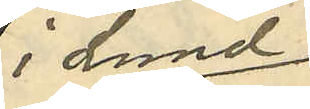i Lund;
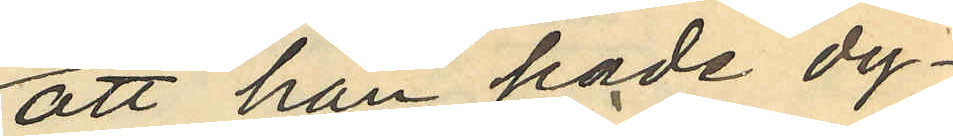att han hade dy¬
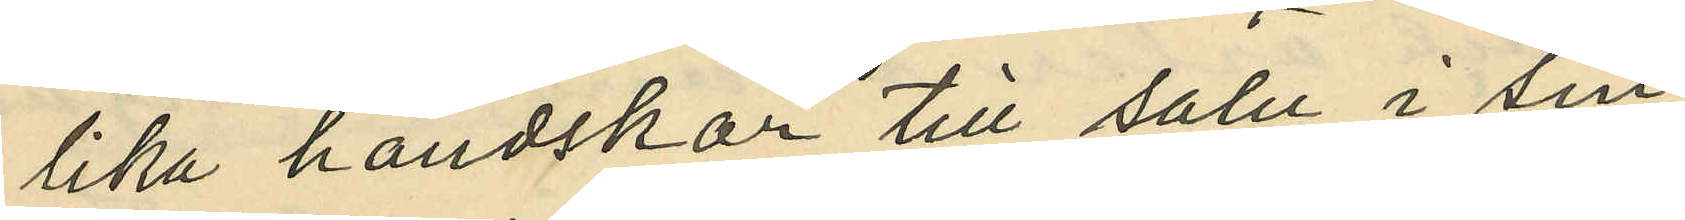lika handskar till salu i sin
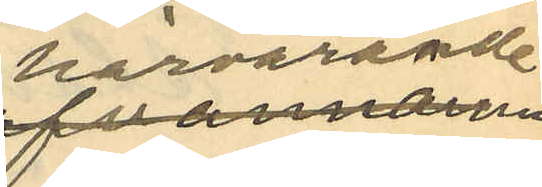härvarande
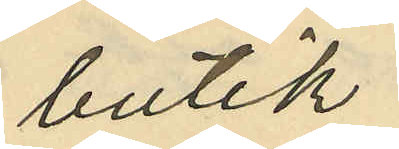butik;
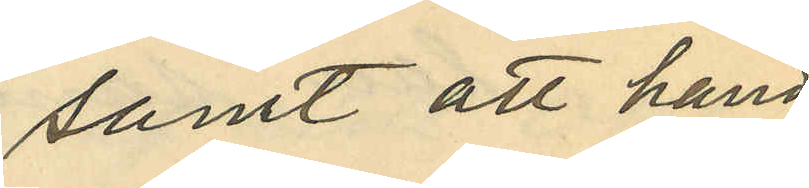samt att hand¬
